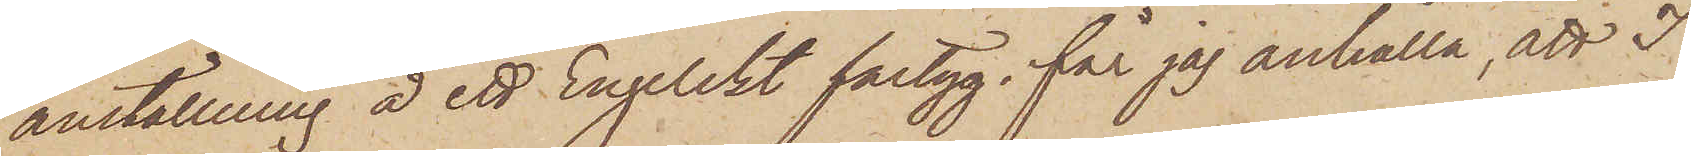anställning å ett Engelskt fartyg, får jag anhålla, att I
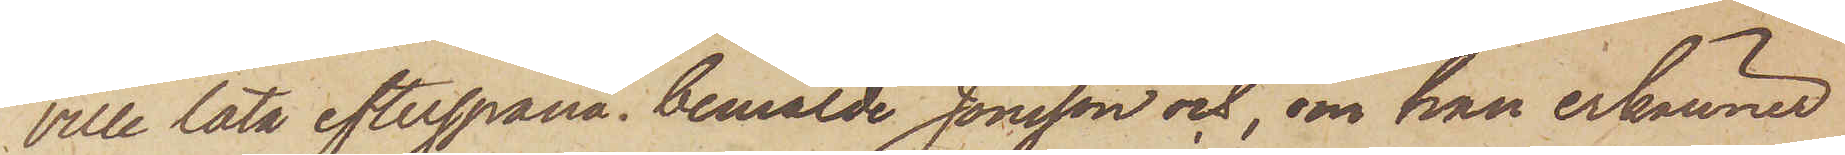ville låta efterspana bemälde Jonsson och, om han erkänner
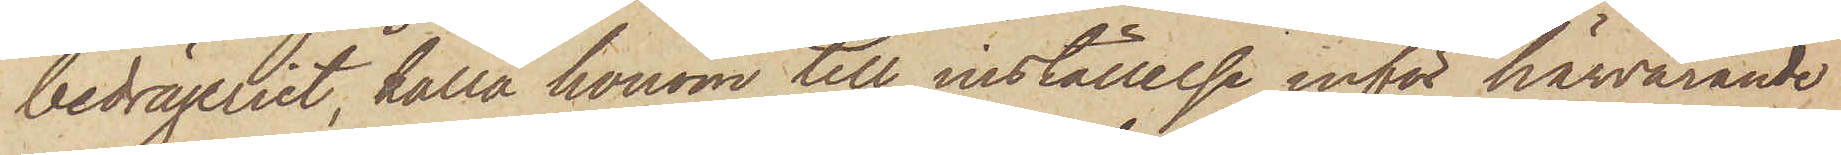bedrägeriet, kalla honom till inställelse inför härvarande
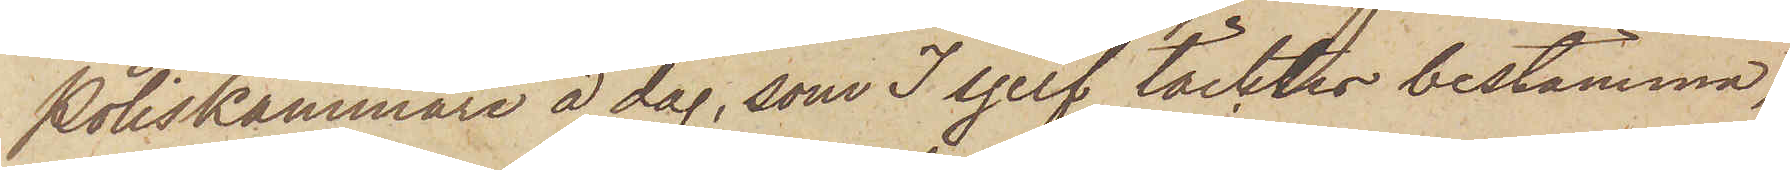Poliskammare å dag, som I sjelf täcktes bestämma,
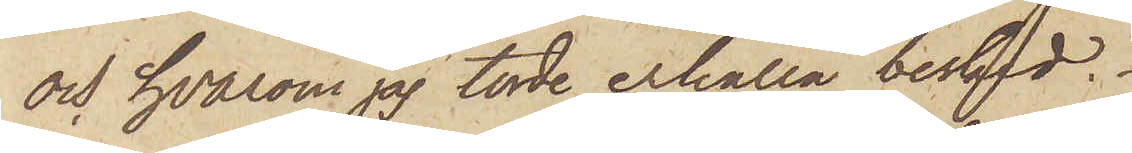och hvarom jag torde erhålla besked.
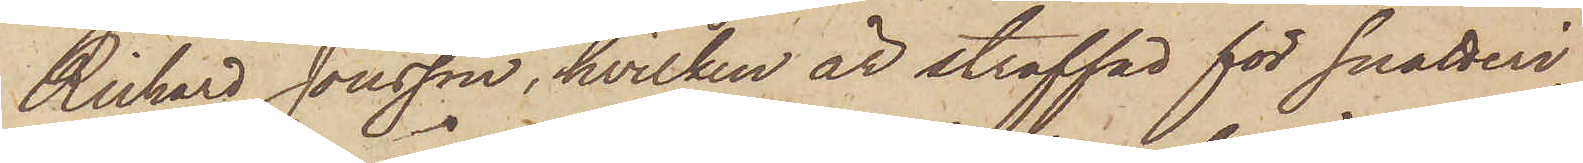Richard Jonsson, hvilken är straffad för snatteri,
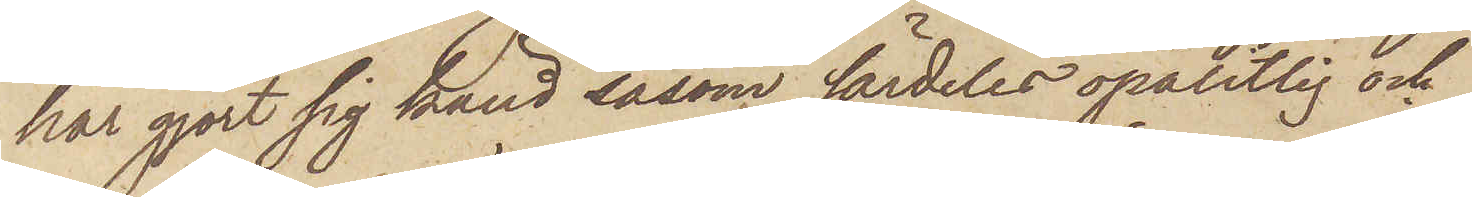har gjort sig känd såsom särdeles opålitlig och
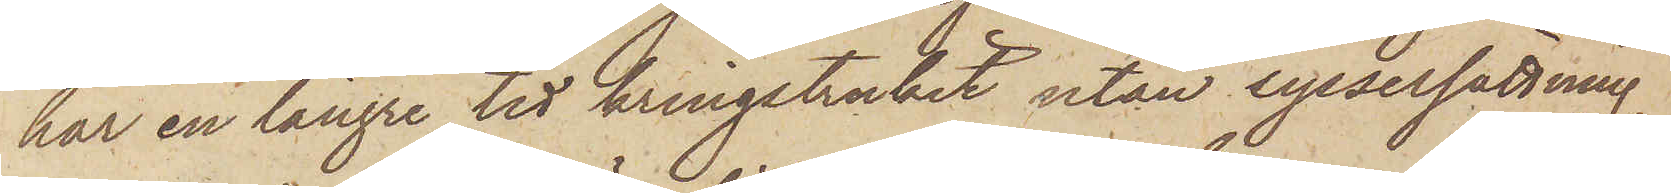har en längre tid kringstrukit utan sysselsättning,
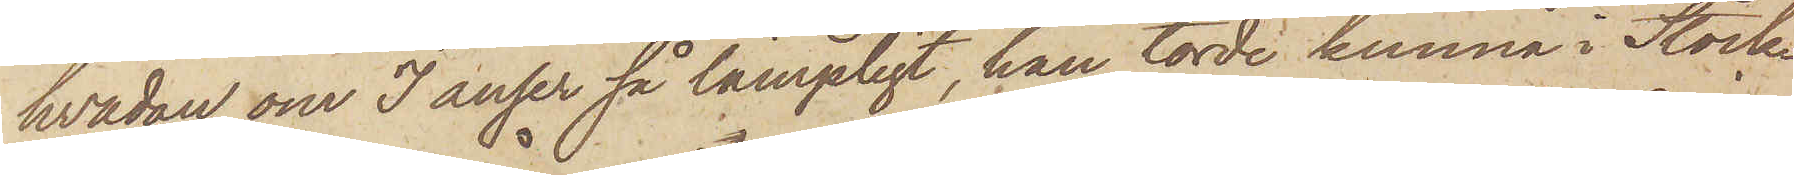hvadan, om I anser så lämpligt, han torde kunna i Stock¬
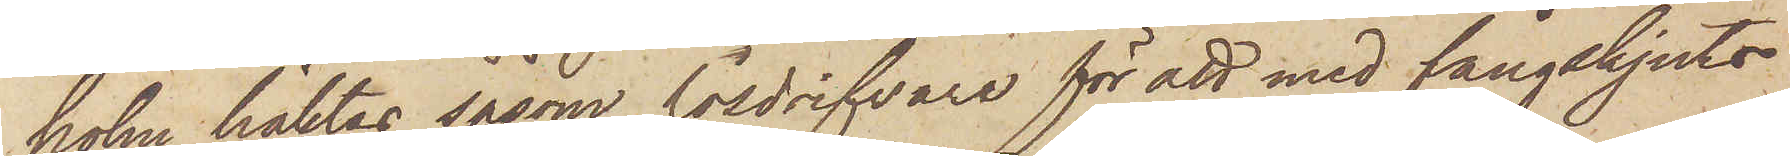holm häktas såsom lösdrifvare för att med fångskjuts
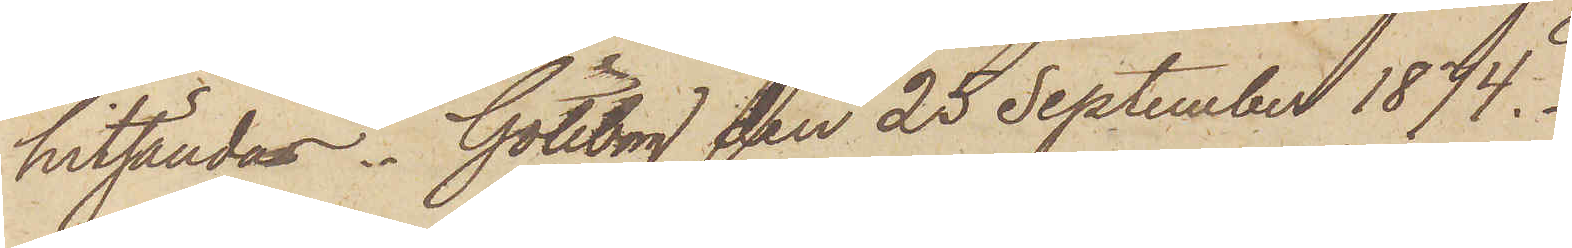hitsändas. Göteborg den 25 September 1874.
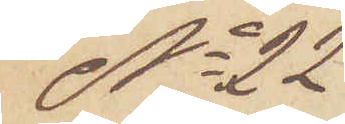No 22
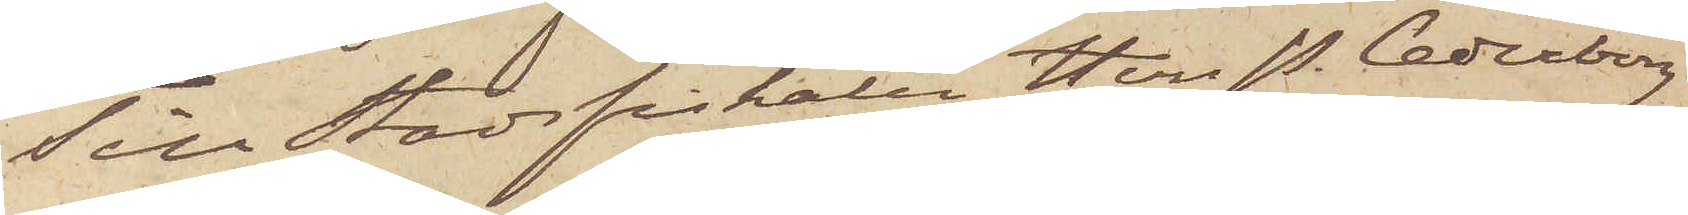Till Stadsfiskalen Herr P. Cederborg
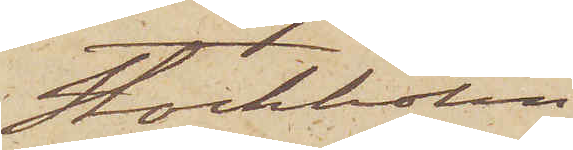Stockholm
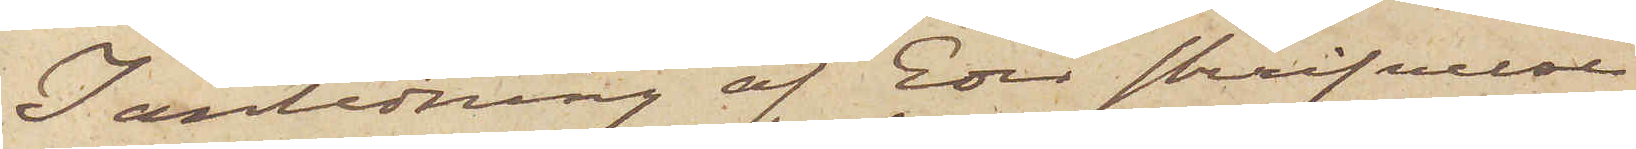I anledning af Eder skrifvelse
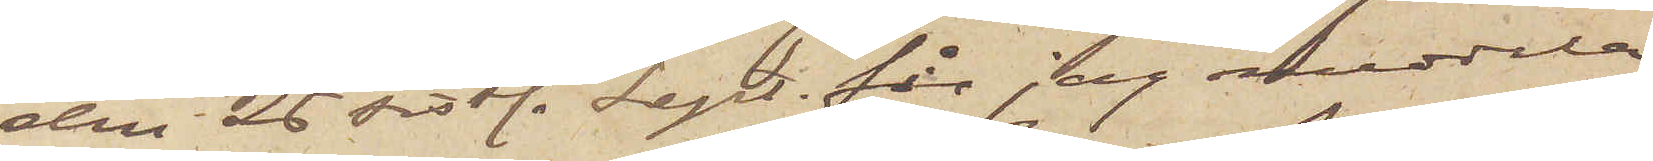den 26 sistl. Sept. får jag meddela
